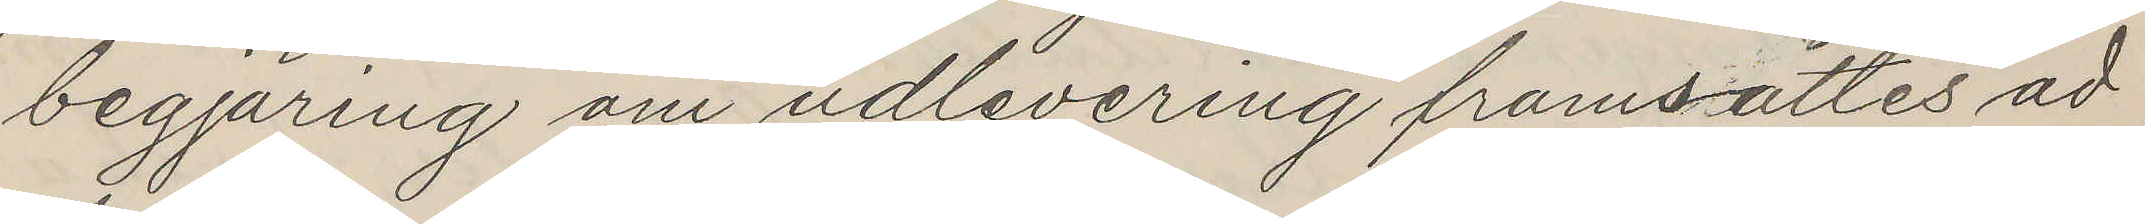begjäring om udlevering framsättes ad
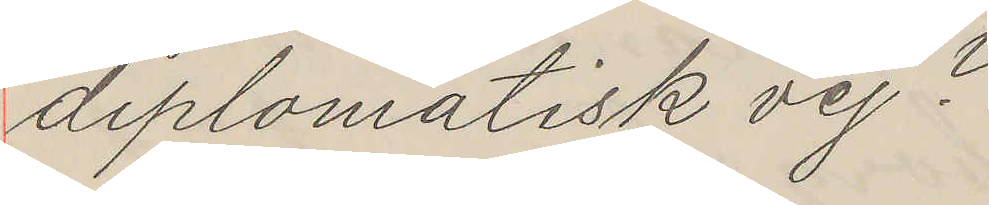diplomatisk vej?
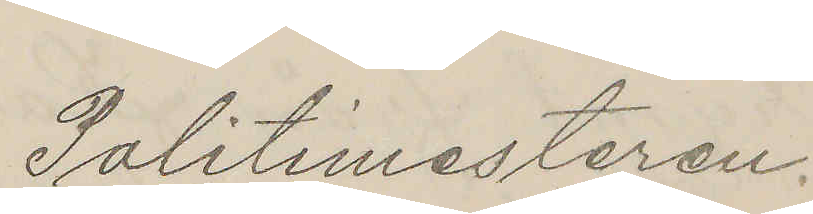Politimesteren.
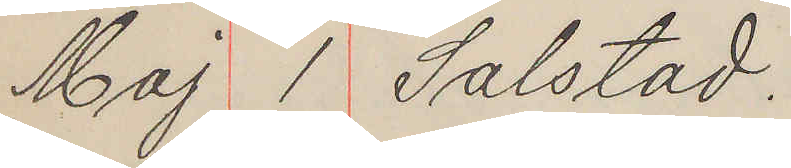Maj 1 Salstad.
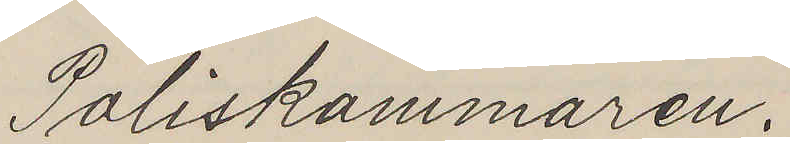Poliskammaren.
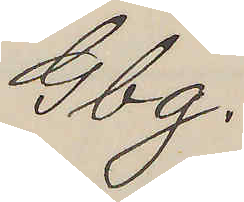Gbg.
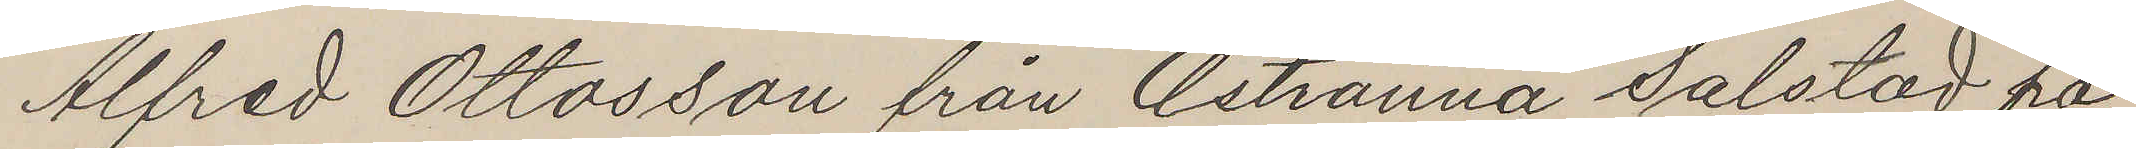Alfred Ottosson från Astranna Salstad på
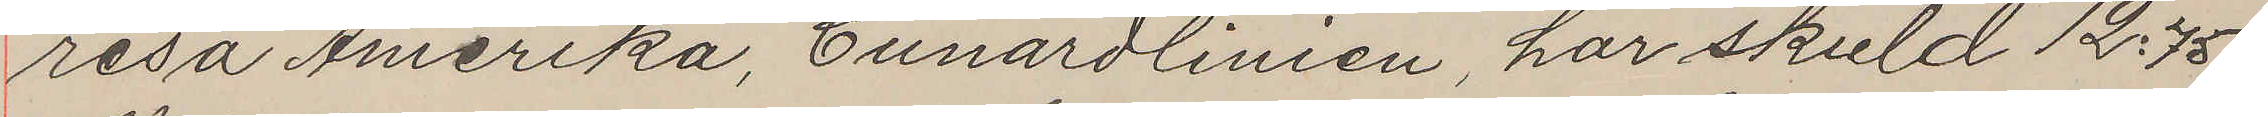resa Amerika, Cunardlinien, har skuld 12:75
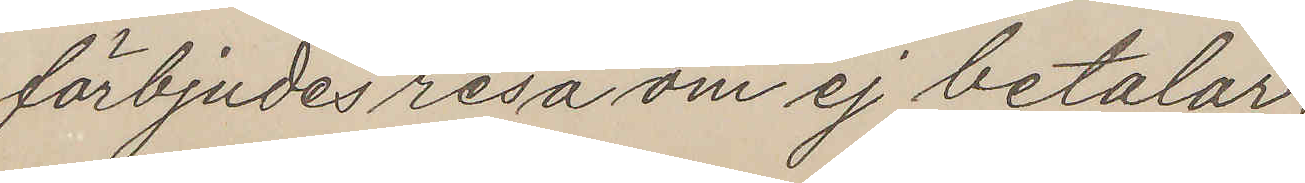förbjudes resa om ej betalar.
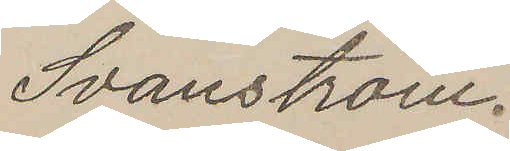Svanström.
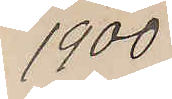1900
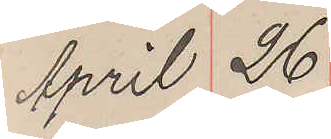April 26
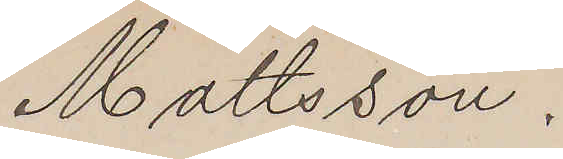Mattsson.
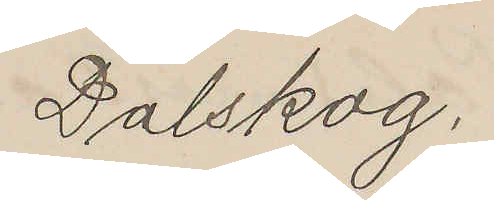Dalskog.
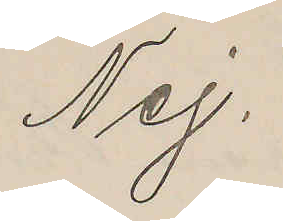Nej.
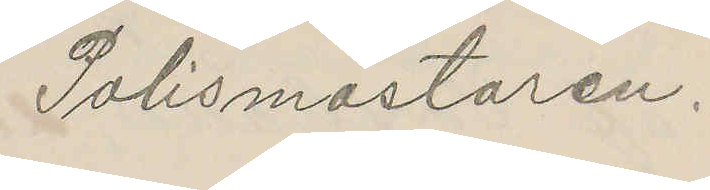Polismästaren.
